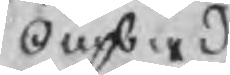Ombud
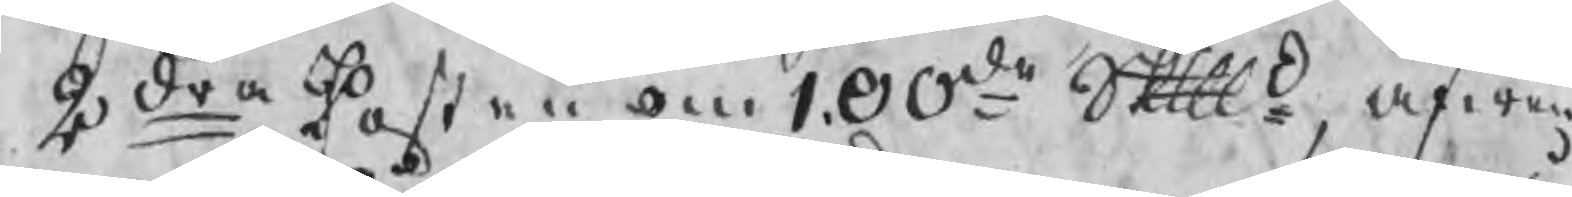2dra Posten om 100de Skpd, äfwen
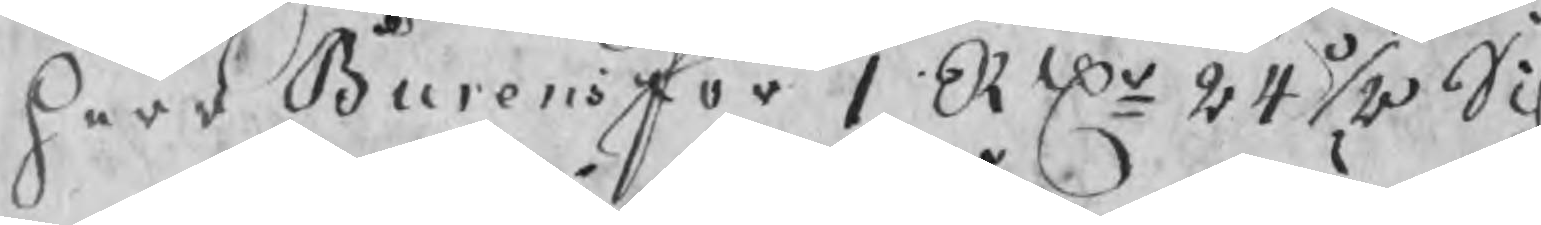herr Burens för 1 RDr 24 ½ Sch
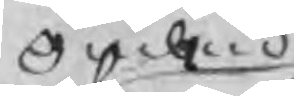Ombud
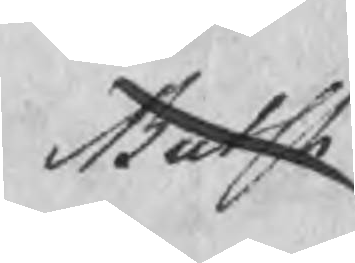Butsh
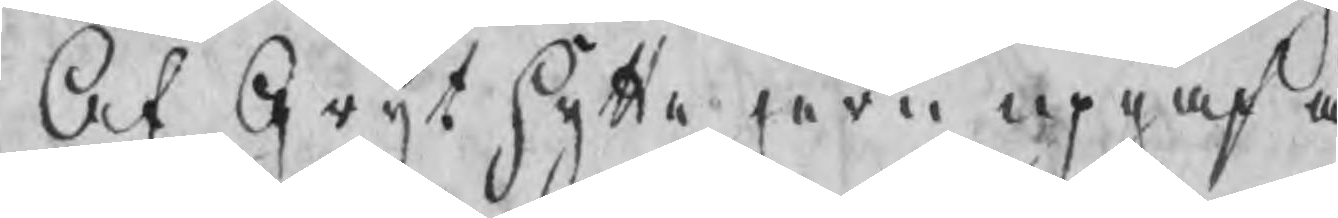Af Grythytte jern upgaf ä
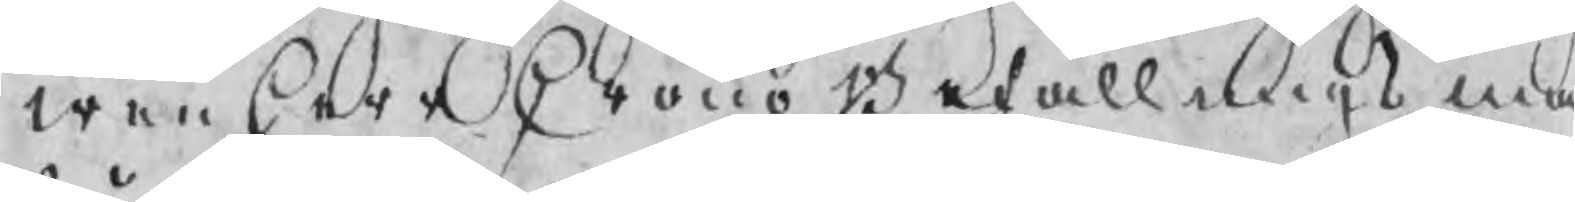wen herr Crono Befallnings ma
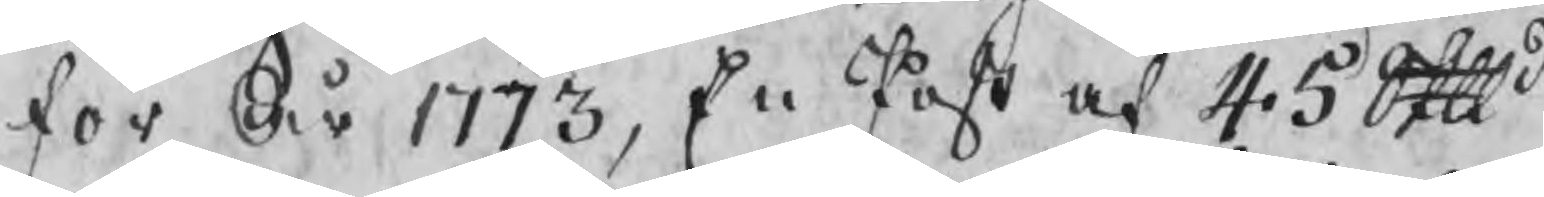för År 1773, En Post af 45 Skpd
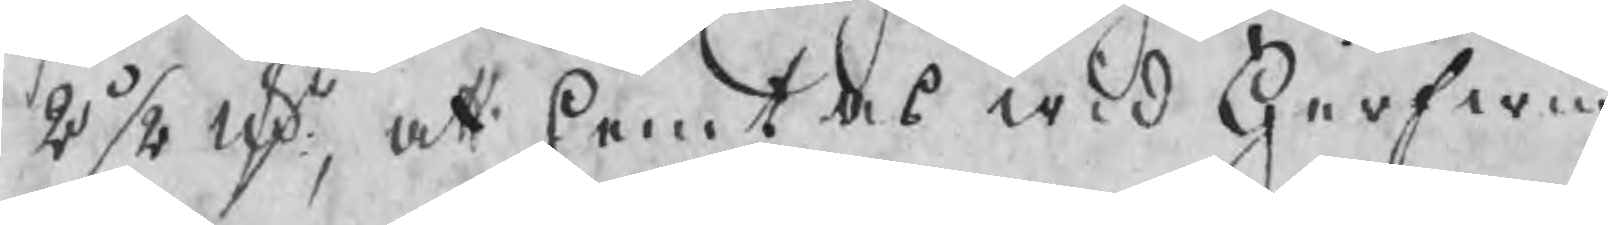2 ½ ldr, att hemtas wid Gerfwin
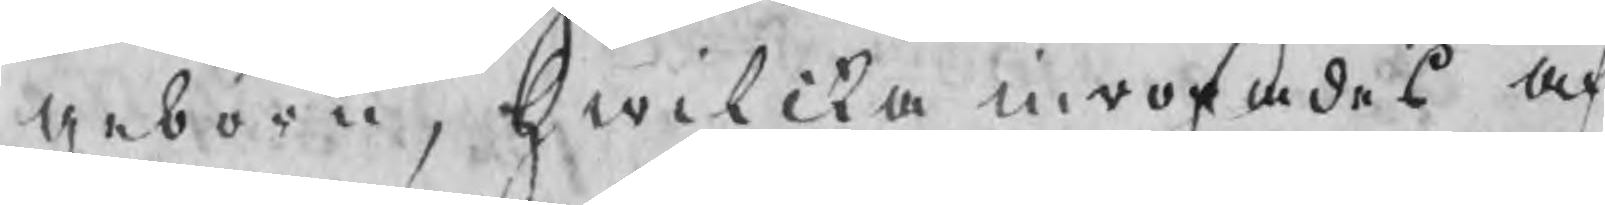geborn, hwilcka inropades af
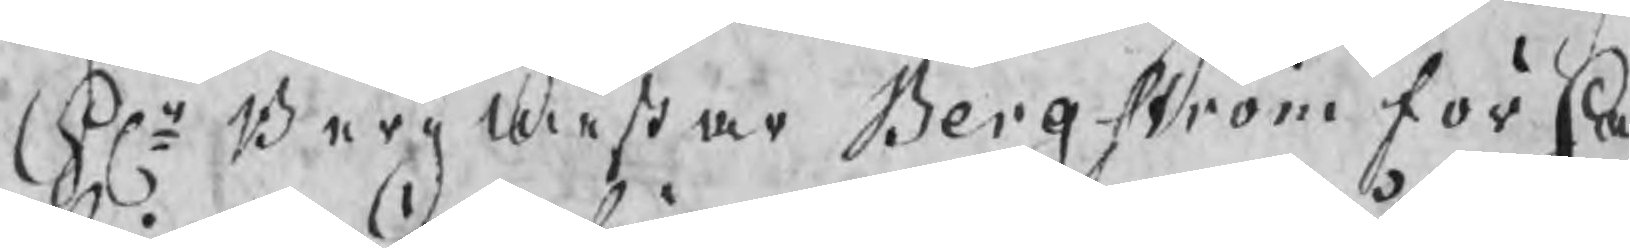Hr Bergmester Bergström för Ha
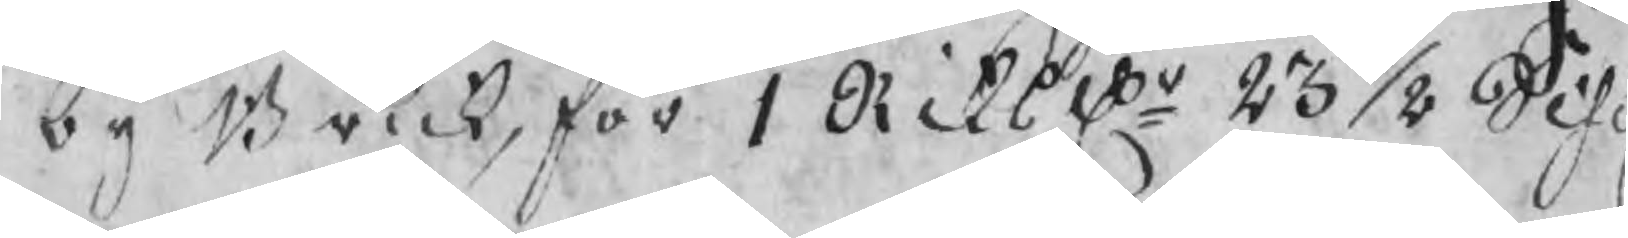by Bruk, för 1 Riksdr 23 1/8 Schil
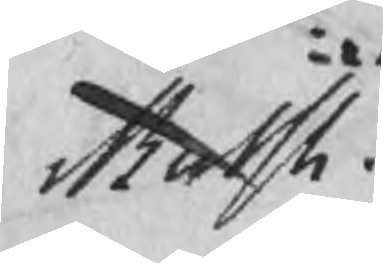Butsh
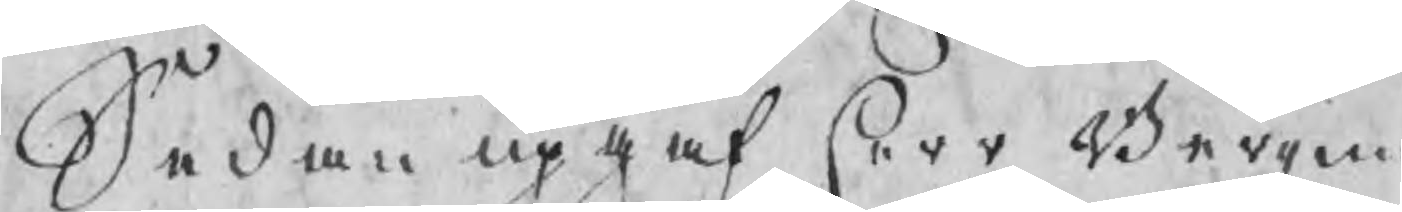Sedan upgaf herr Bergme
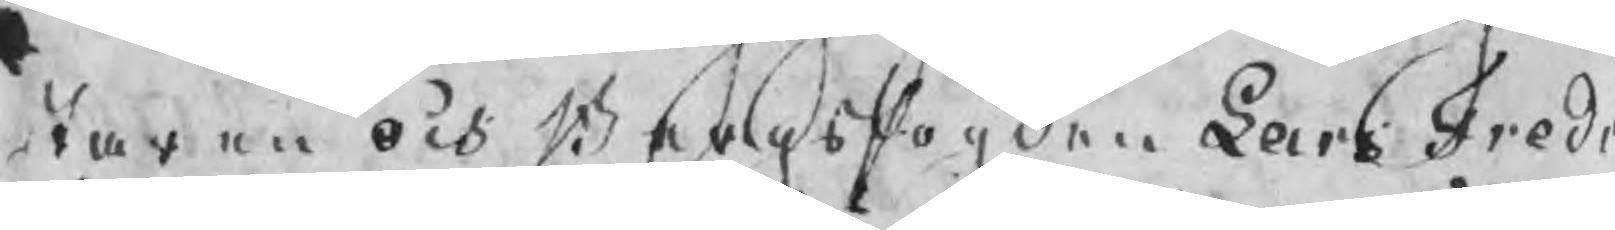staren och Bergsfogden Lars Fredr
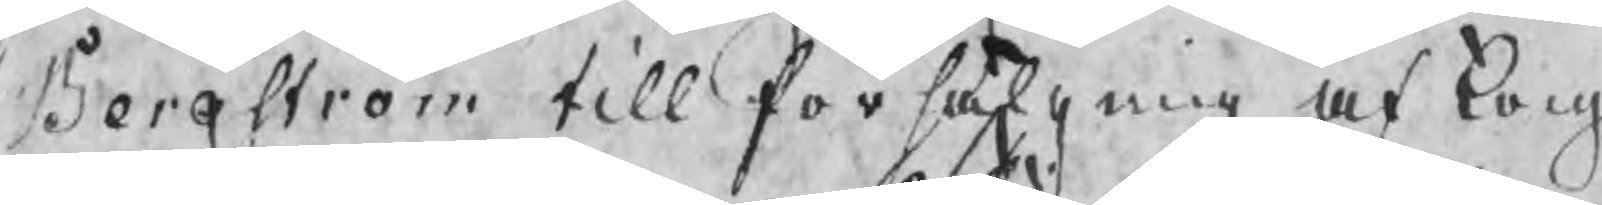Bergström till försälgning af kong
